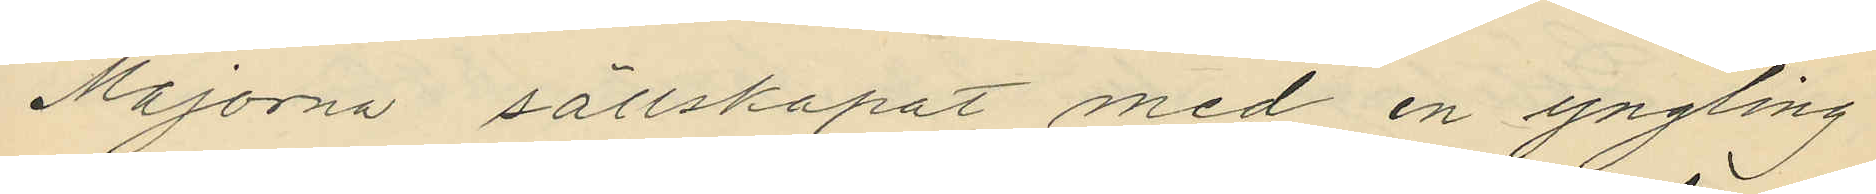Majorna sällskapat med en yngling
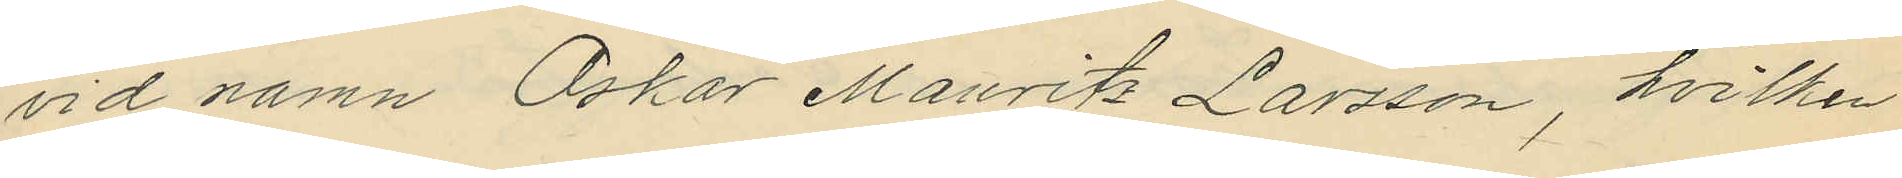vid namn Oskar Mauritz Larsson, hvilken
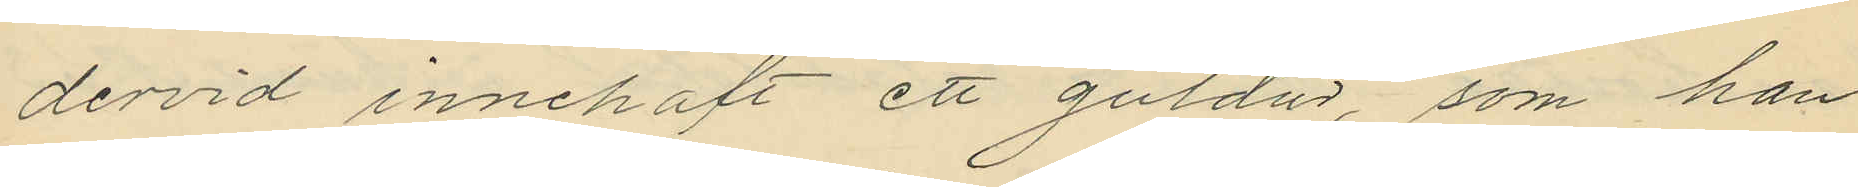dervid innehaft ett guldur, som han
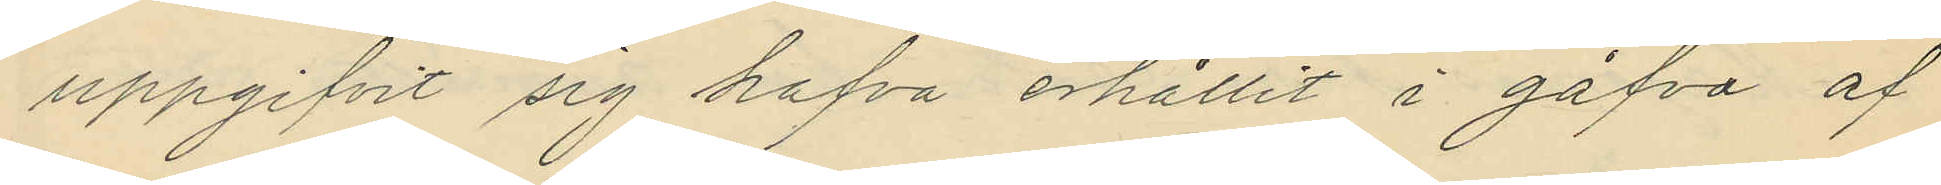uppgifvit sig hafva erhållit i gåfva af
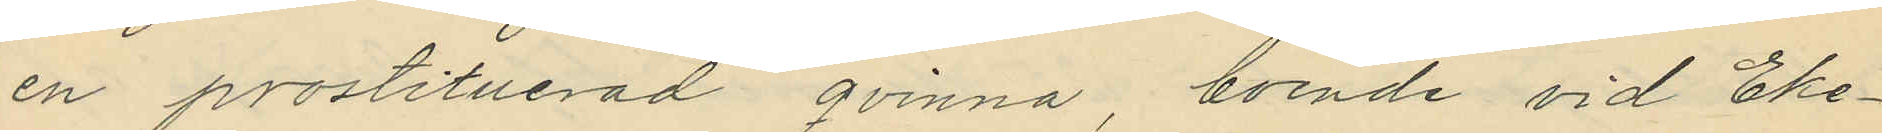en prostituerad qvinna, boende vid Eke¬
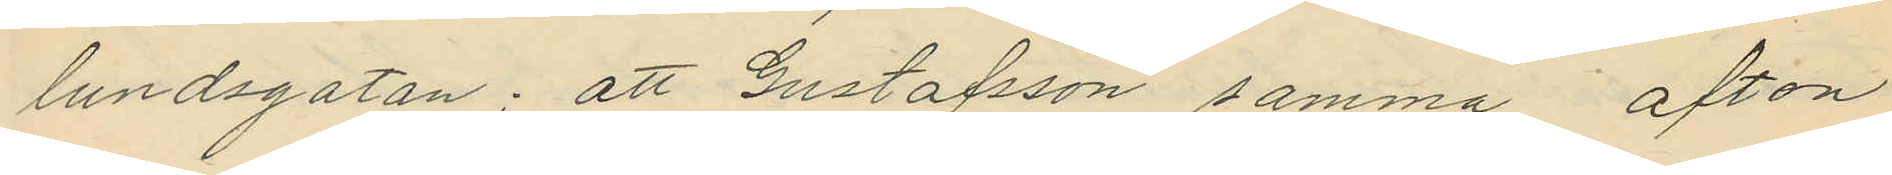lundsgatan; att Gustafsson samma afton
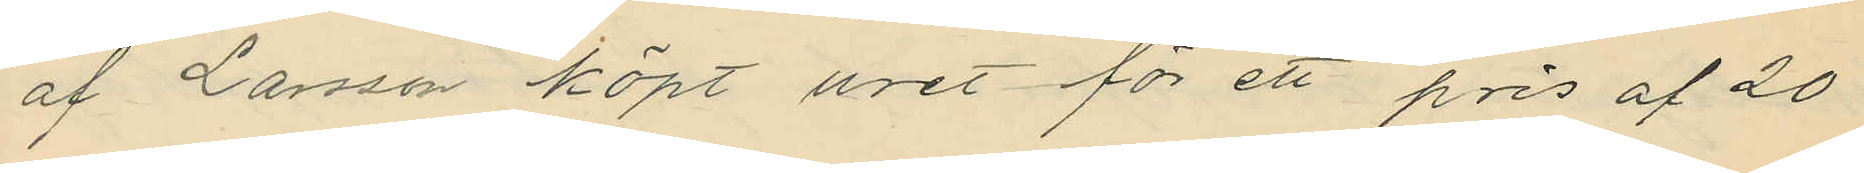af Larsson köpt uret för ett pris af 20
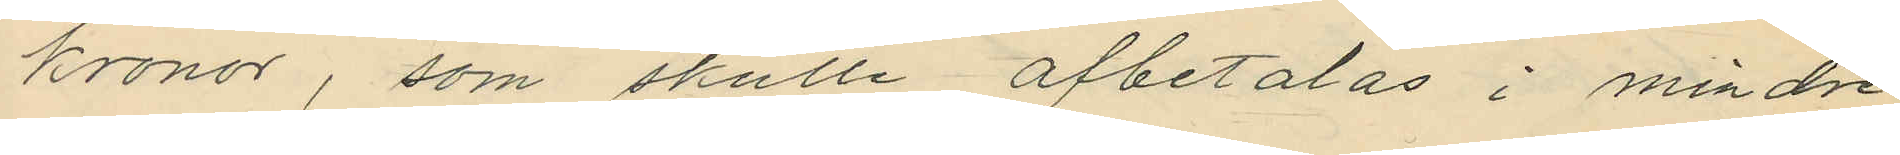kronor, som skulle afbetalas i mindre
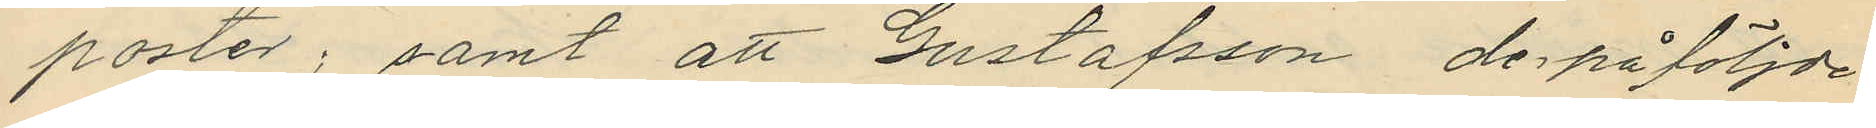poster; samt att Gustafsson derpåföljde
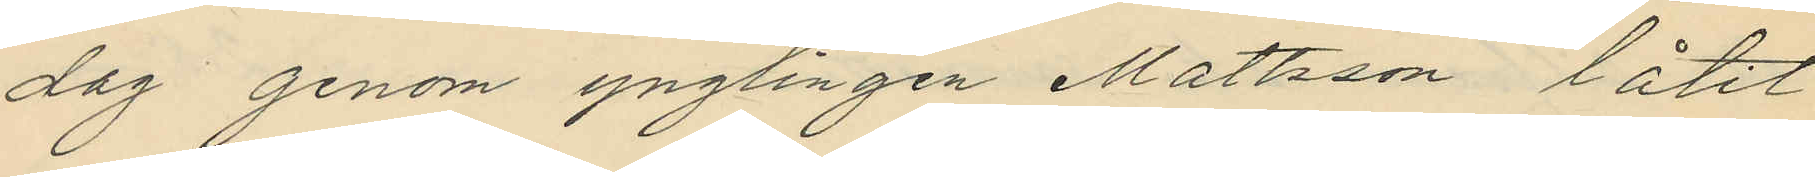dag genom ynglingen Mattsson låtit
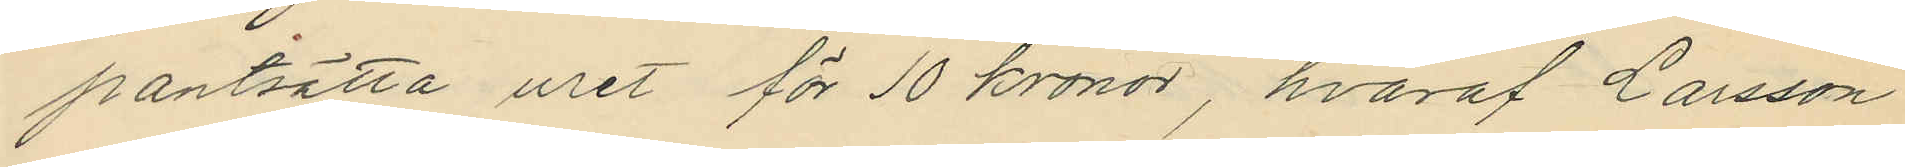pantsätta uret för 10 kronor, hvaraf Larsson
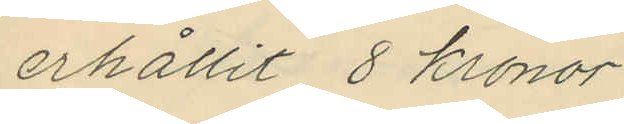erhållit 8 kronor.
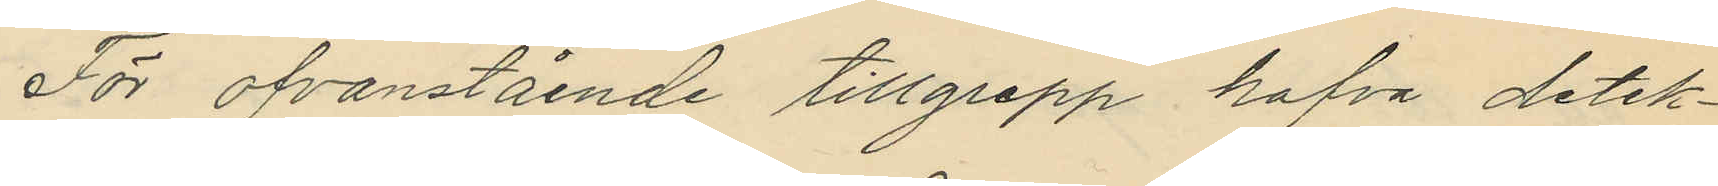För ofvanstående tillgrepp hafva detek¬
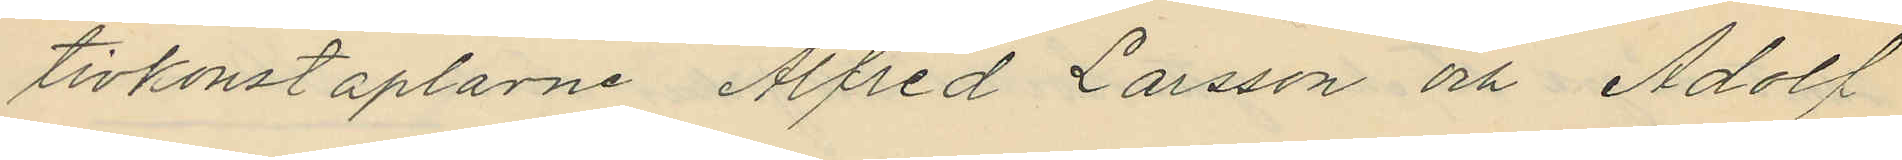tivkonstaplarne Alfred Larsson och Adolf
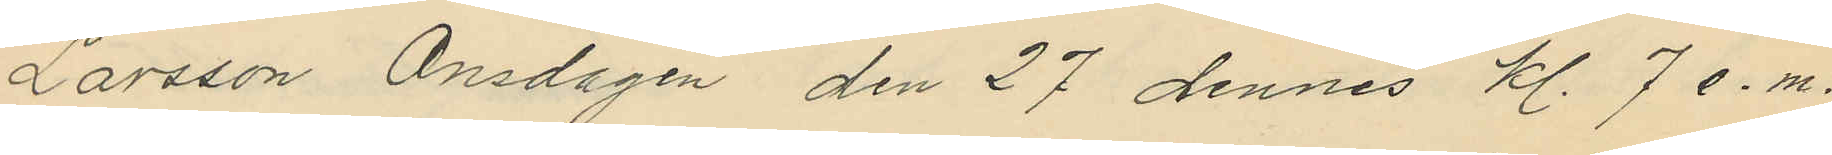Larsson Onsdagen den 27 dennes kl. 7 e.m.
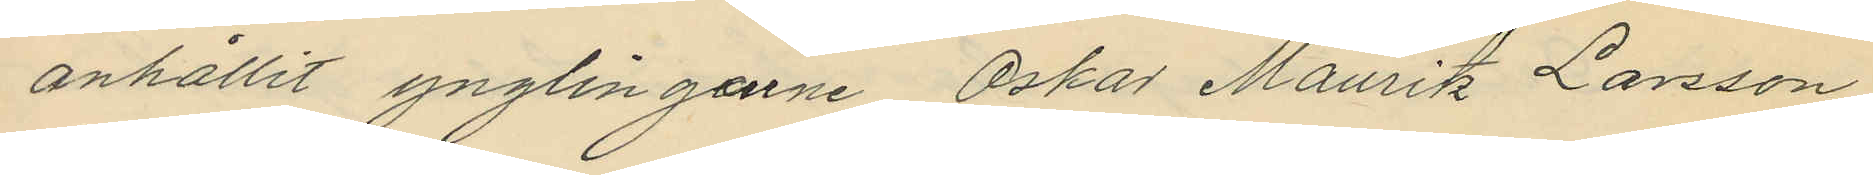anhållit ynglingarne Oskar Mauritz Larsson
